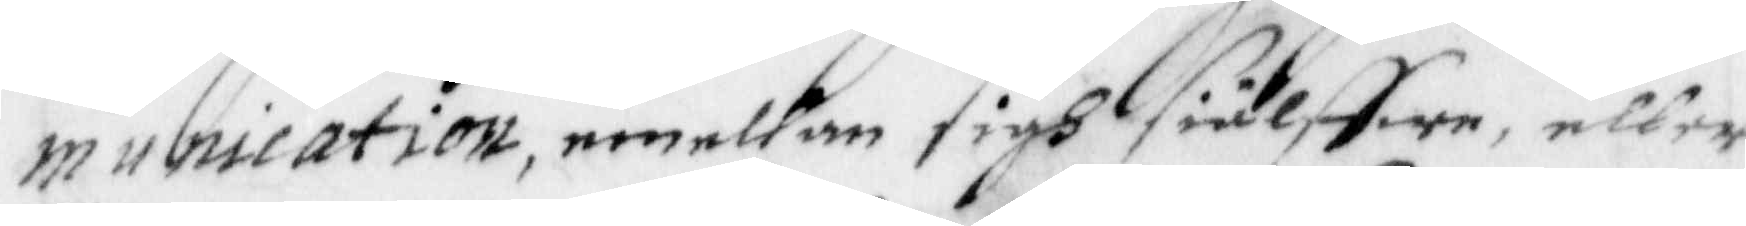munication, emellan sigh siälffwe, eller
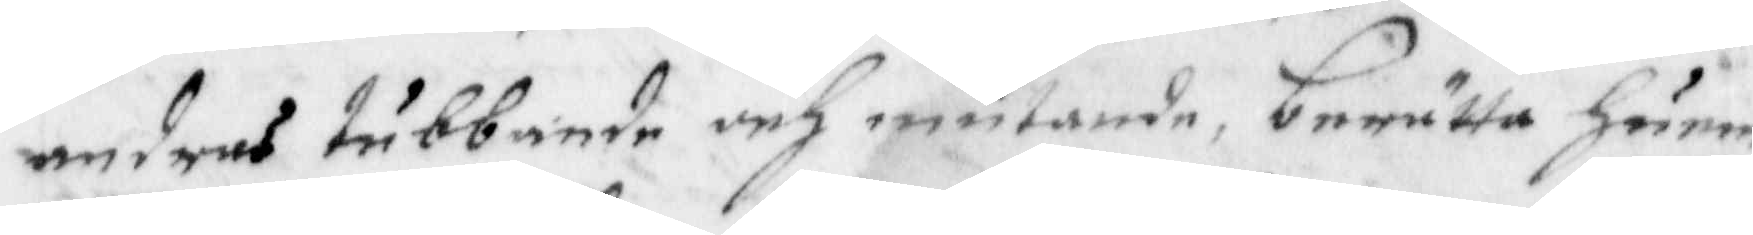andras tubbande och mutande, berätta Härom
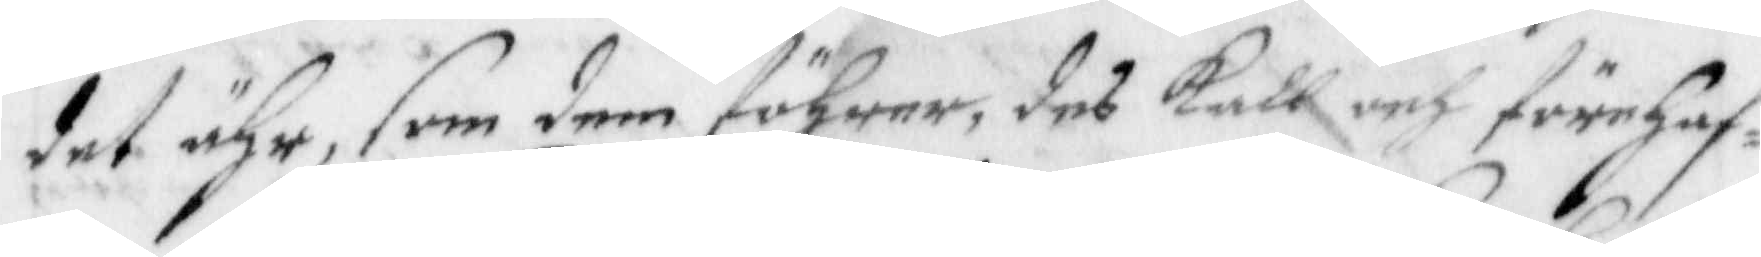det ähr, som dem föhrer, deß kall och förehaf¬
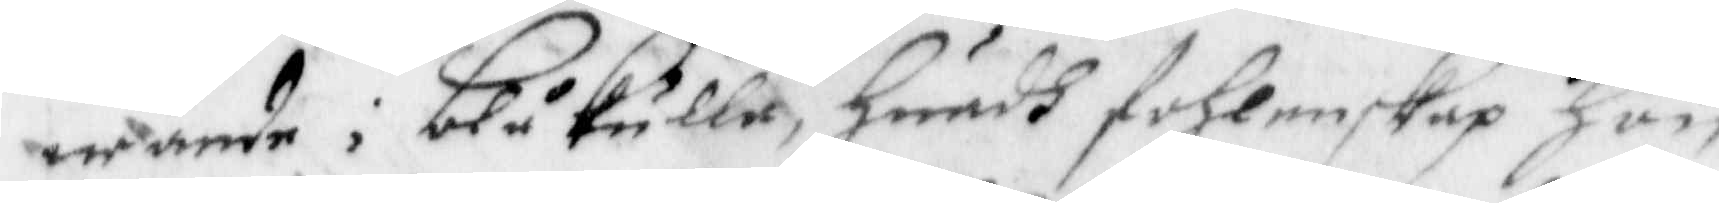wande i Blåkulla, Huadh fohlenskap hon
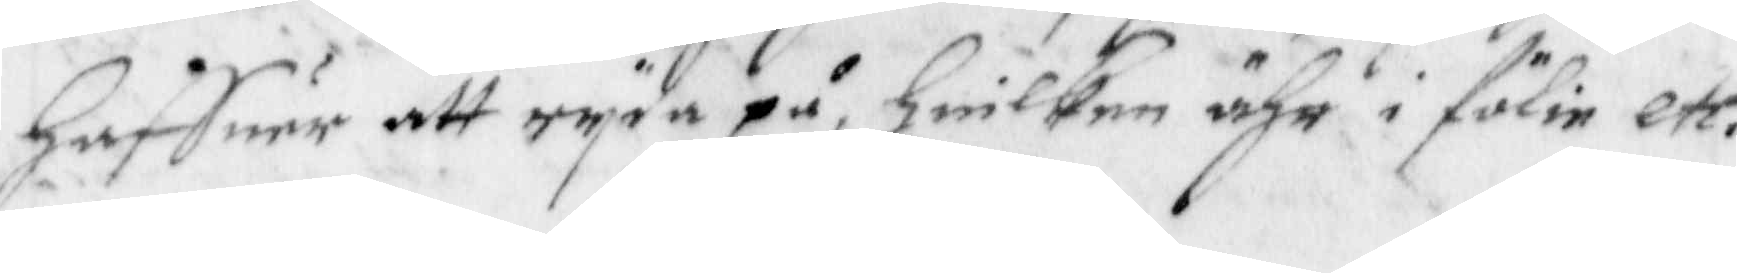haffuer att ryda på, huilken ähr i fölie etc.
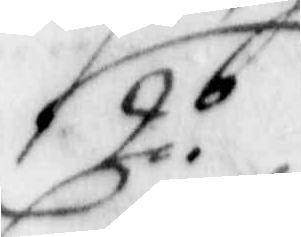2.o
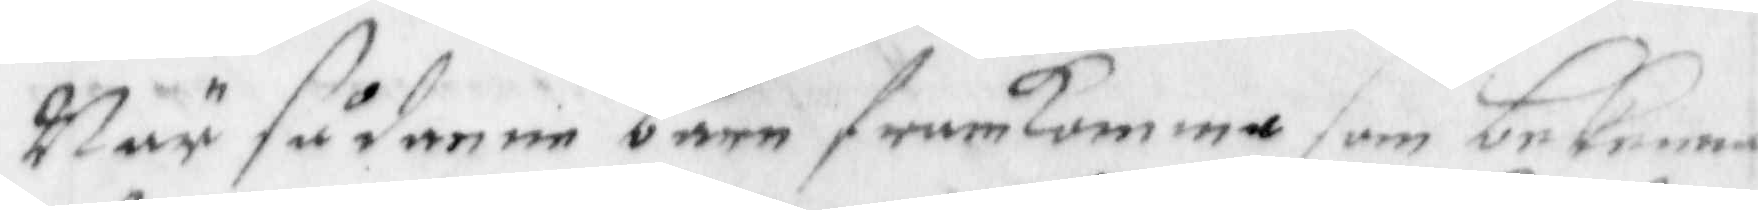När sådanne barn framkomma som bekenna
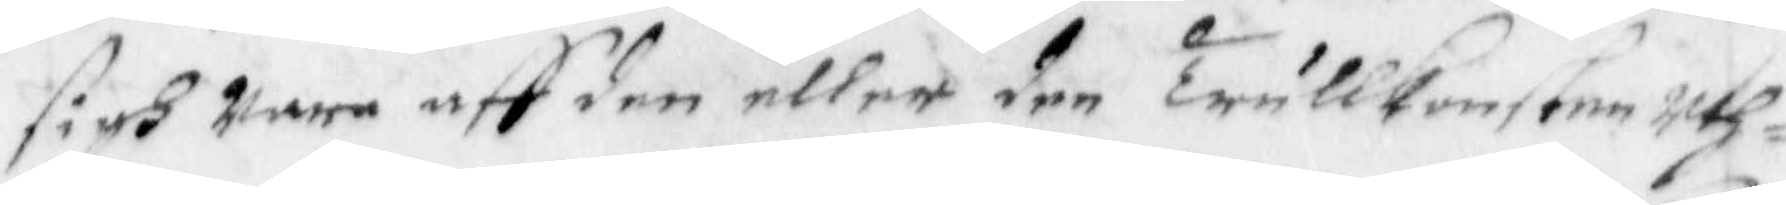sigh wara aff den eller den trullkonsten uth¬
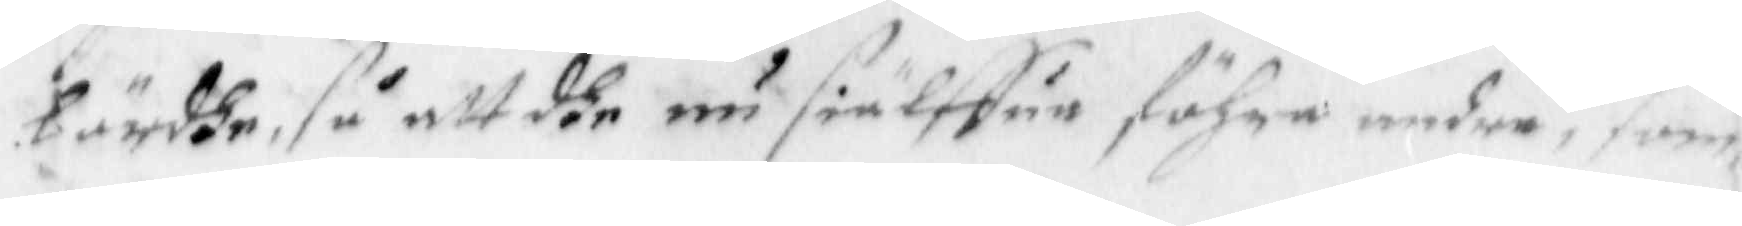bördhe, så att dhe nu siälffua föhra andra, som
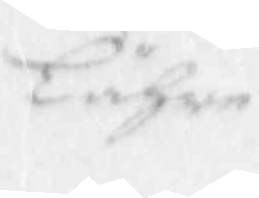Lähre
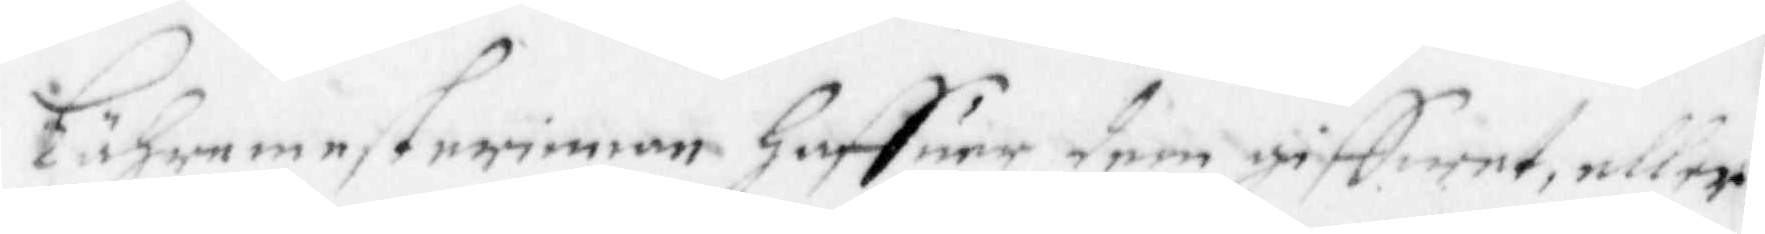Lähre mesteriman haffuer dem giffwet, eller
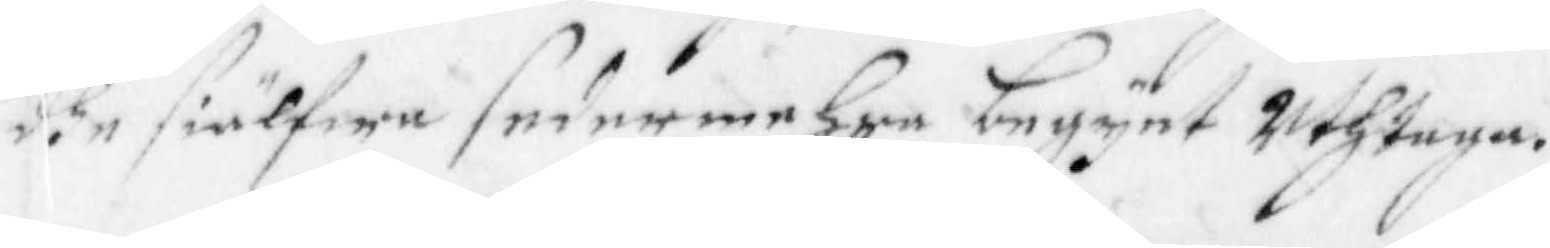dhe siulfwe sedermehra begynt uthtaga.
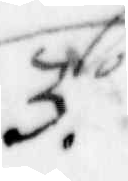3.o
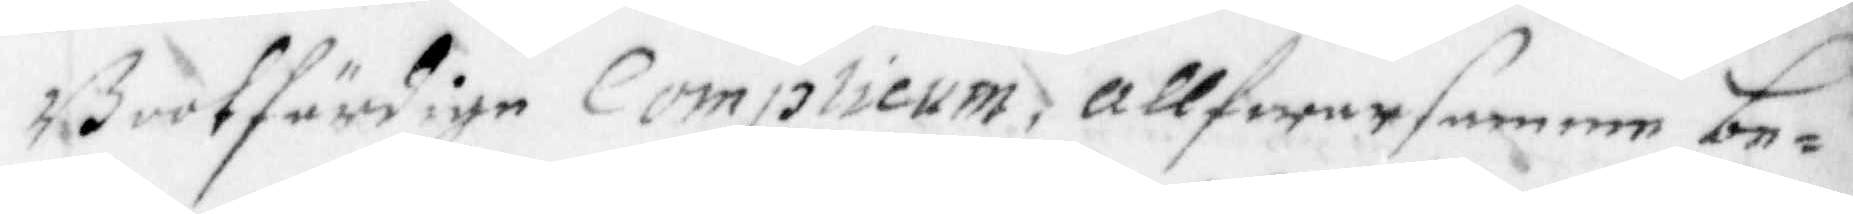Bootfärdige Comphieum, allfwarsamme be¬
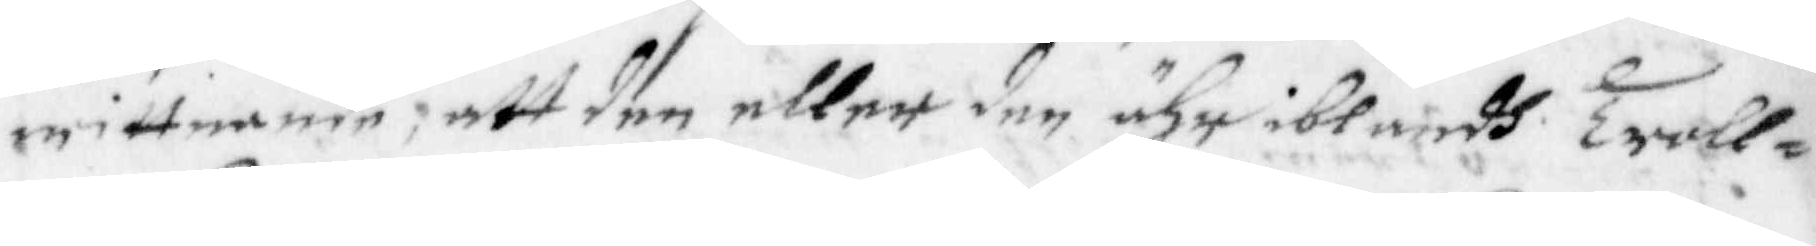wittnande, att den eller den ähr iblandh Troll¬
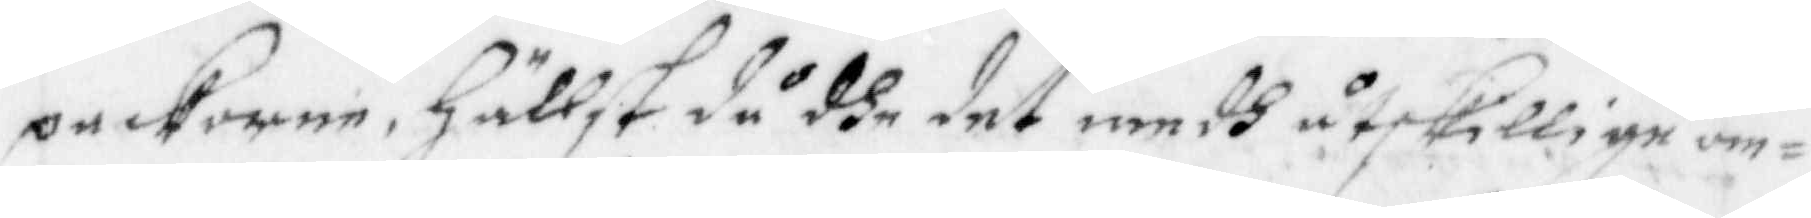packorne, Hällst då dhe det medh åtskillige om¬
